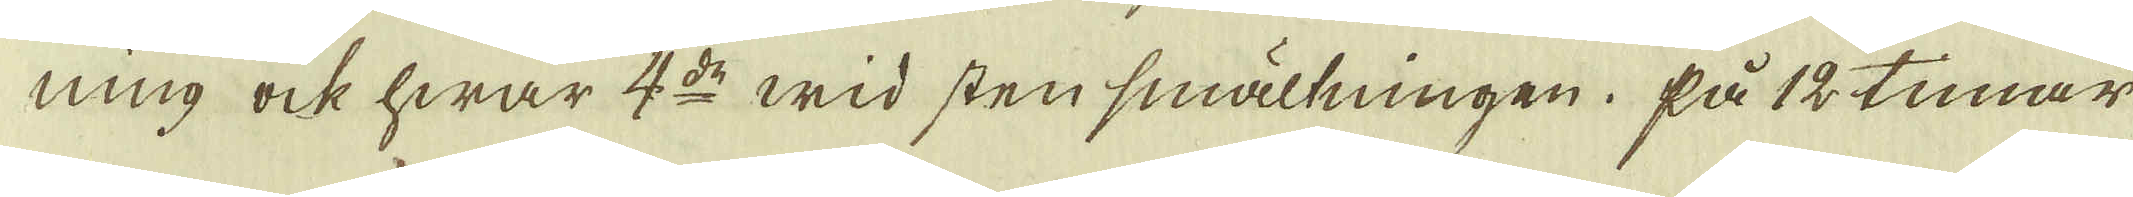ning ock hwar 4:de wid sten smältningen. På 12 timar
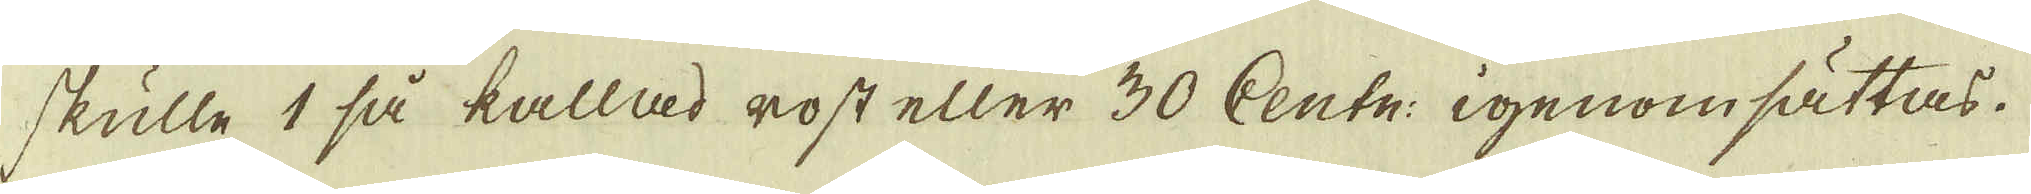skulle 1 så kallad rost eller 30 Centn: igenomsättas.
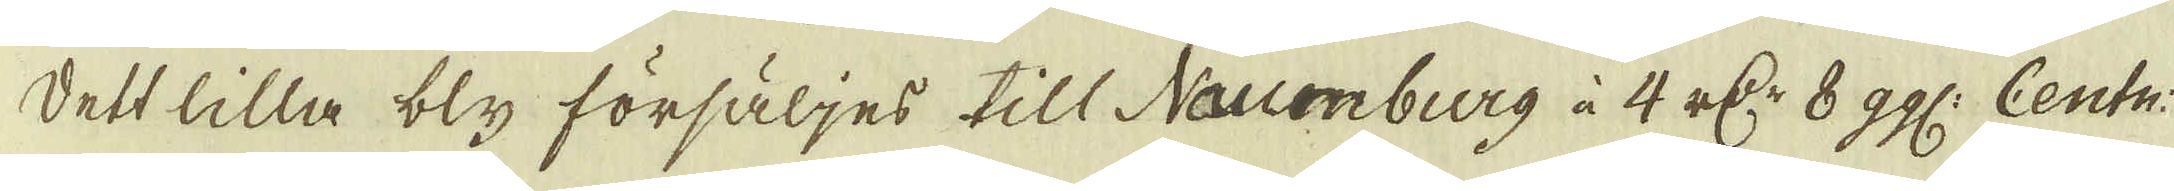Dett lilla bly försäljes till Naumburg à 4 r:dr 8 ggl: Centn:
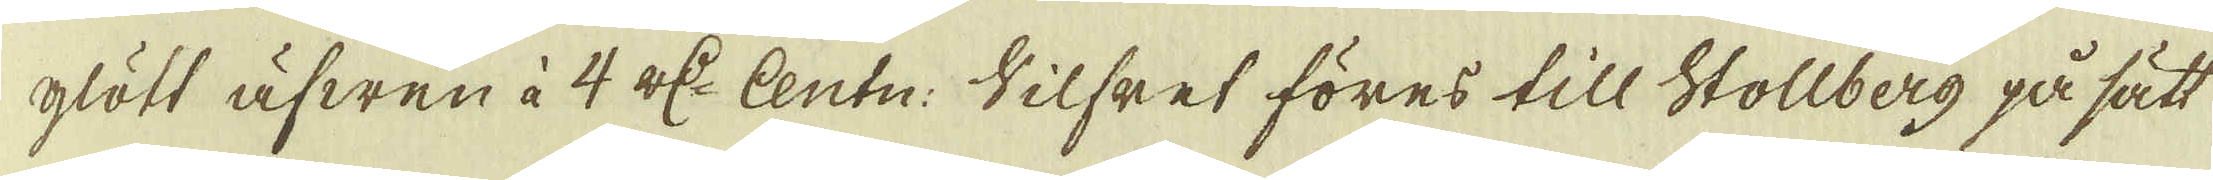glött äfwen à 4 r:dr Centn: Silfret föres till Stollberg på sätt
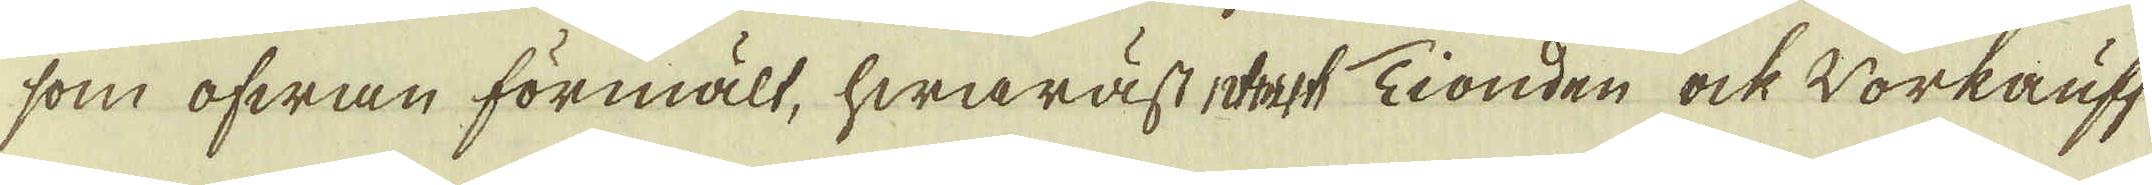som ofwan förmält, hwaräst dock Tionden ock Workauff
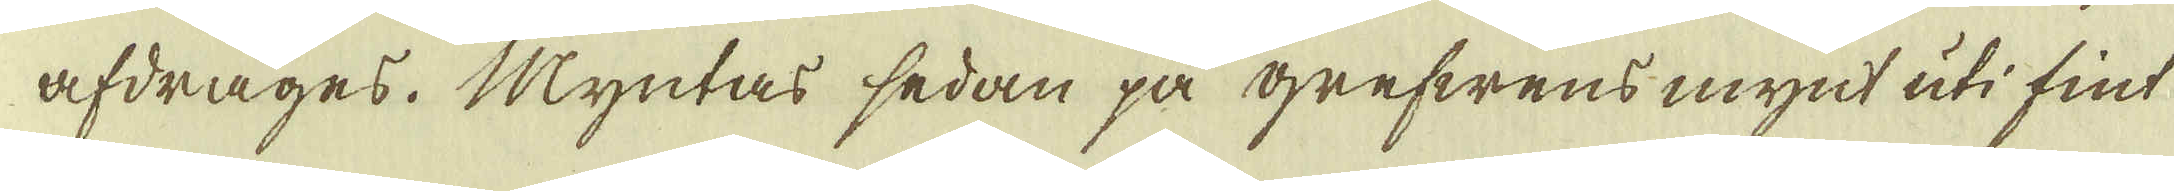afdrages. Myntas sedan på grefwens mynt uti fint
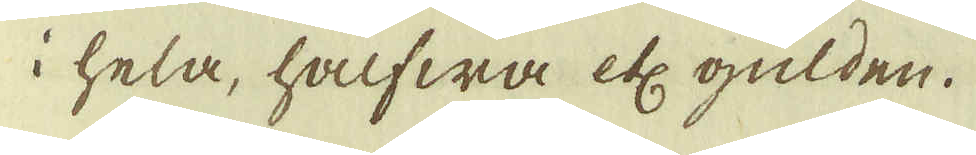i hela, halfwa etc gulden.
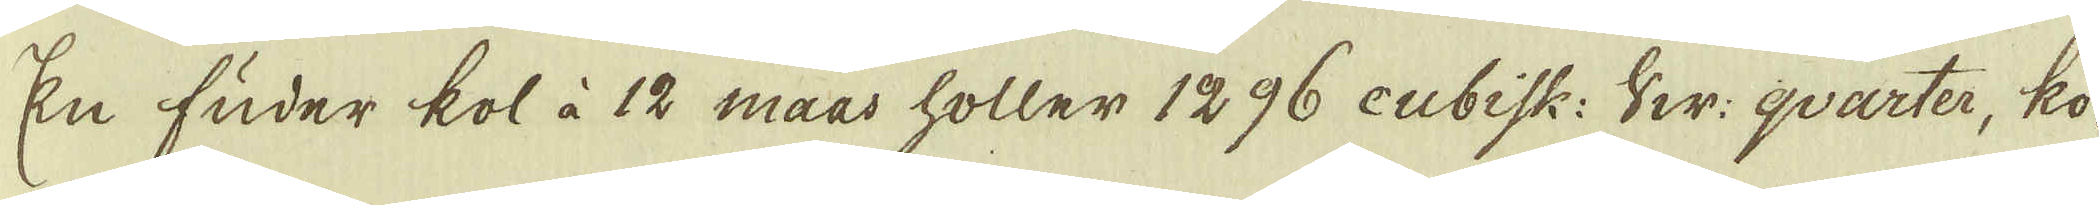En fuder kol à 12 maas holler 1296 cubisk: Sw: qvarter, ko-
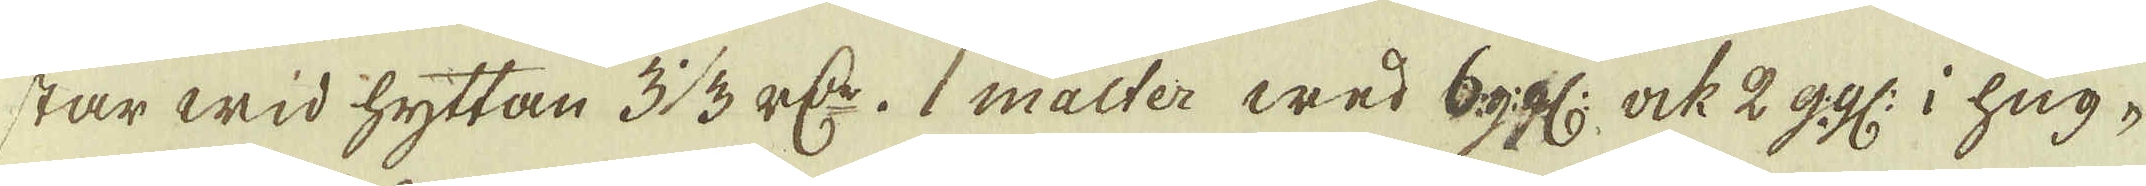star wid hyttan 3 1/3 r:dr. 1 malter wed 6 ggl: ock 2 ggl: i hug-
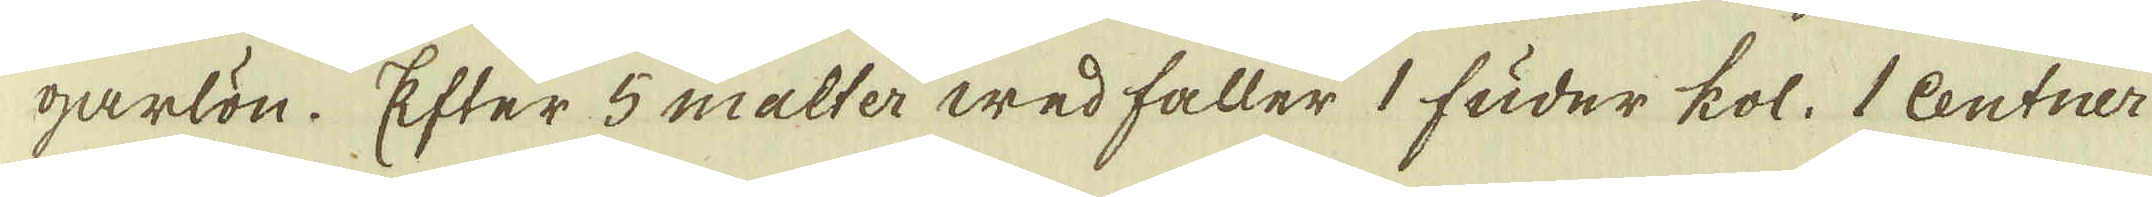garlön. Efter 5 malter wed faller 1 fuder kol. 1 Centner
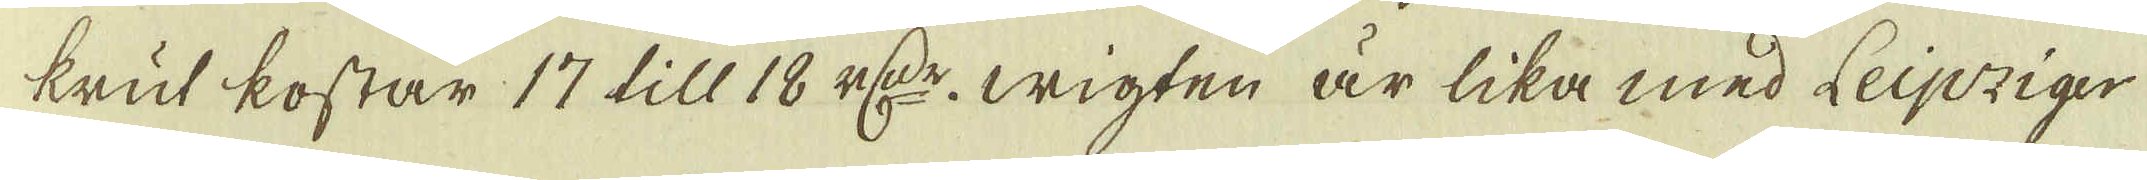krut kostar 17 till 18 r:dr. wigten är lika med Leipziger
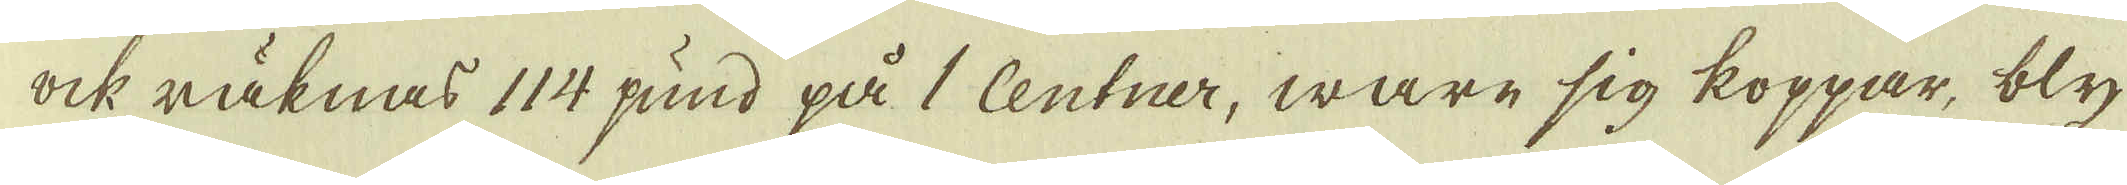ock räknas 114 pund på 1 Centner, ware sig koppar, bly
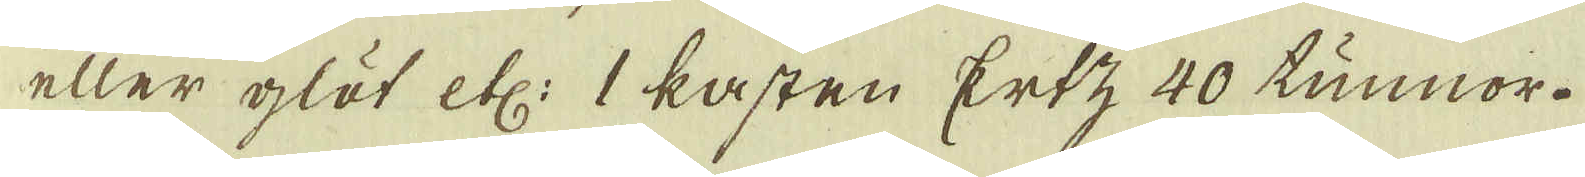eller glöt etc: 1 kasten Ertz 40 tunnor.
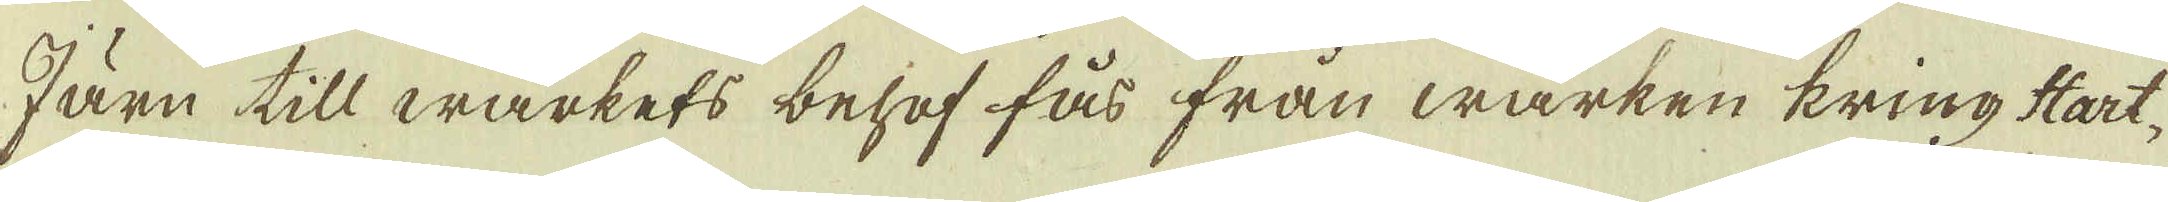Järn till wärkets behof fås från wärken kring Hart-
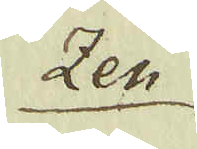zen
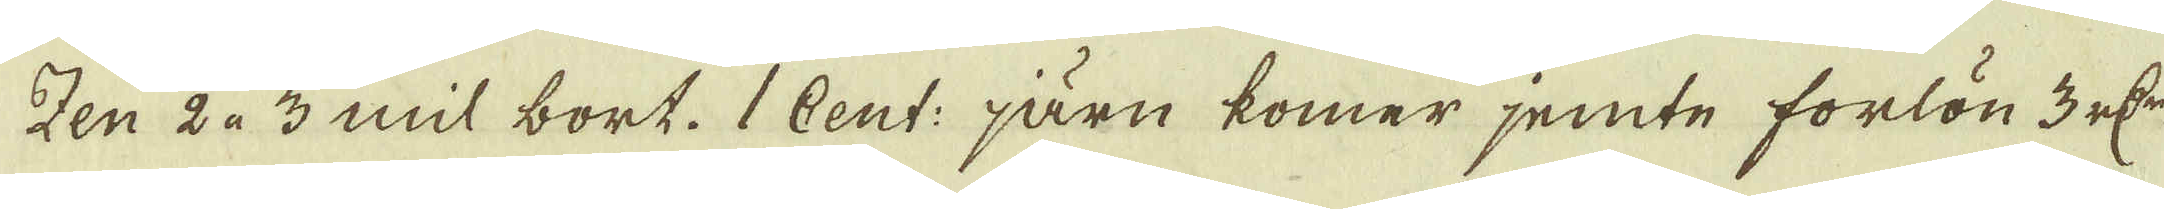zen 2 à 3 mil bort. 1 Cent: järn kommer jemte forlön 3 r:dr
